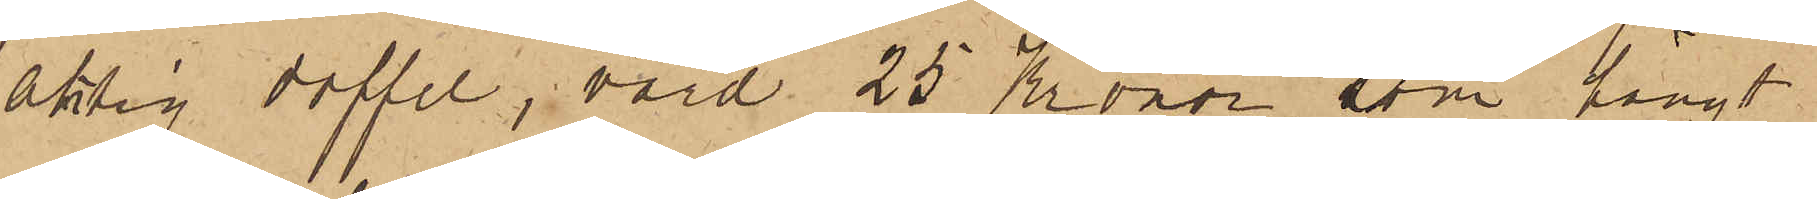aktig doffel, värd 25 Kronor, som hängt
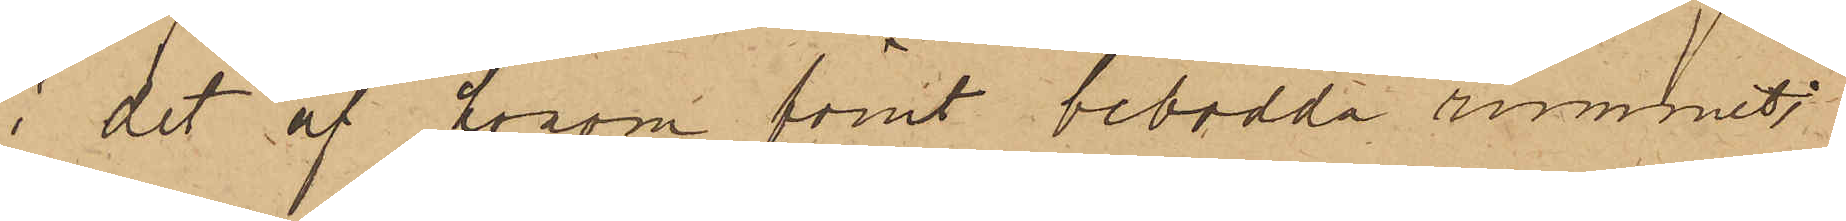i det af honom förut bebodda rummet;
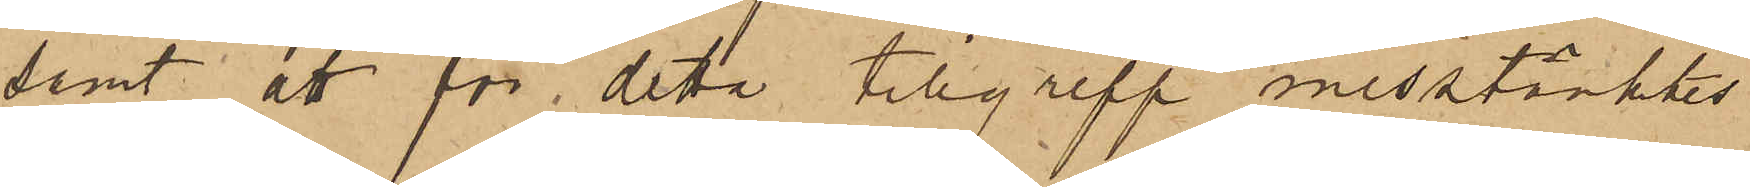samt att för detta tillgrepp misstänktes
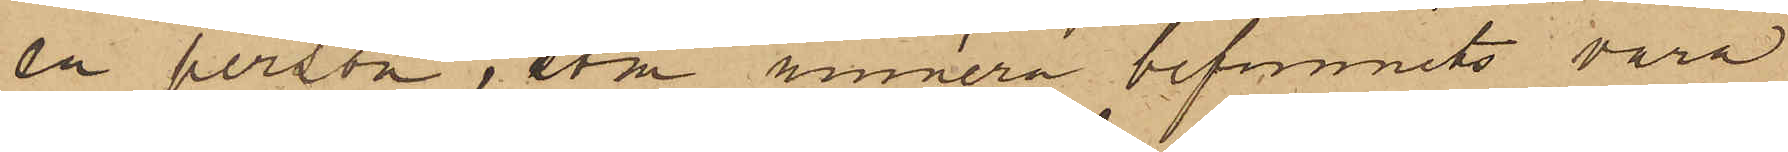en person, som numera befunnits vara
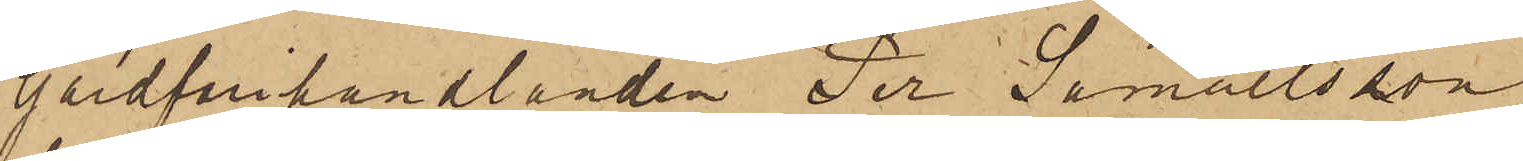Gårdfarihandlanden Per Samuelsson
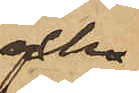och
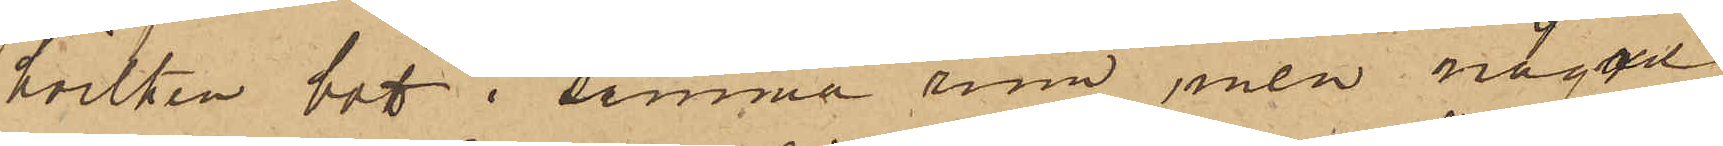hvilken bott i samma rum, men några
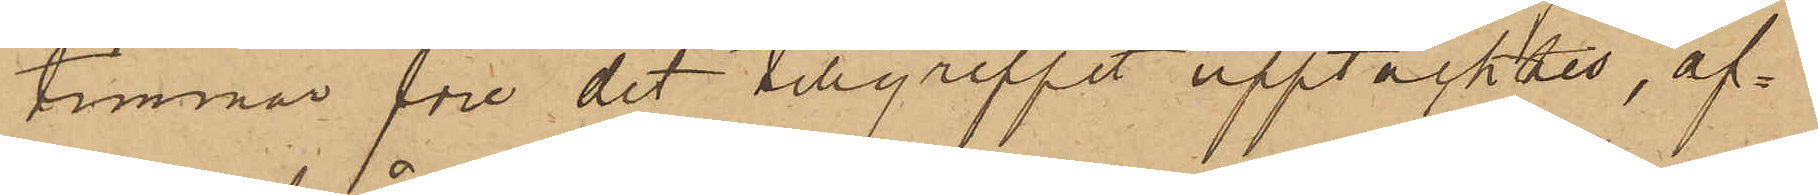timmar före det tillgreppet upptäcktes, af¬
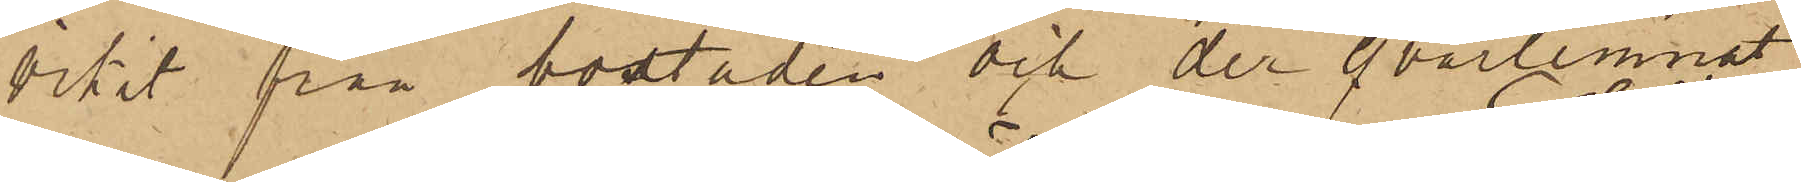vikit från bostaden och der qvarlemnat
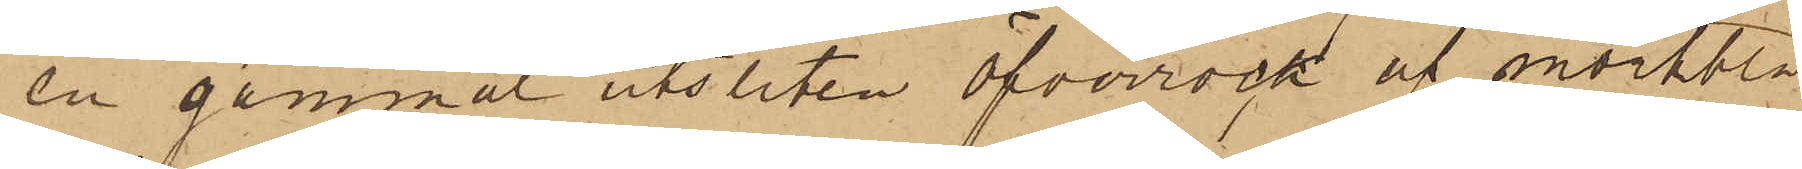en gammal utsliten öfverrock af mörkblå
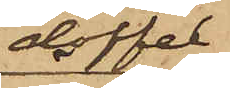doffel
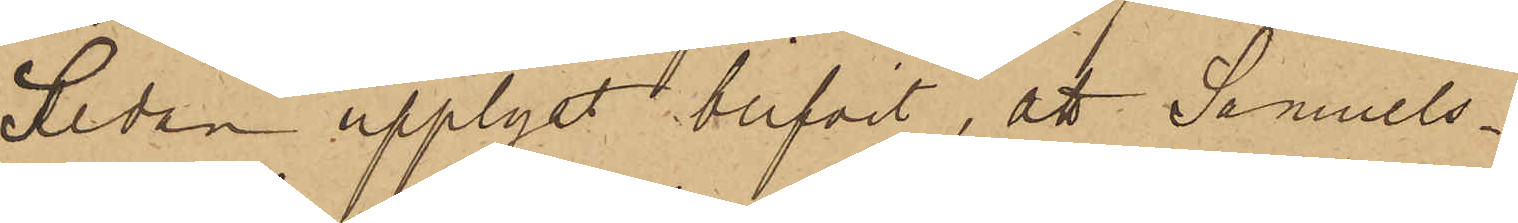Sedan upplyst blifvit, att Samuels¬
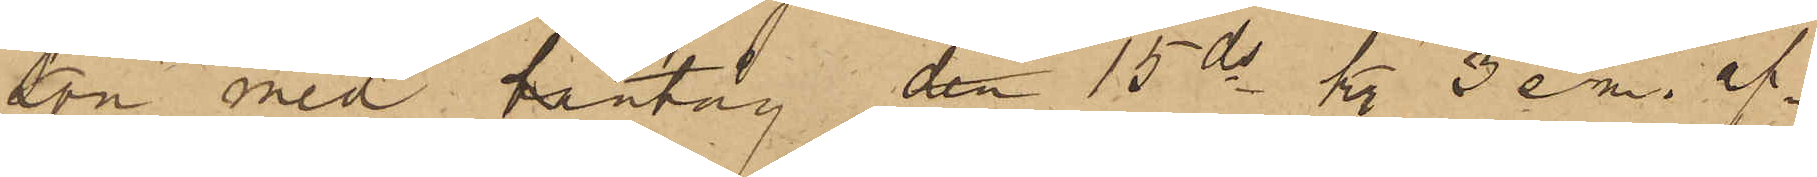son med bantåg den 15 ds kl. 3 em. af¬
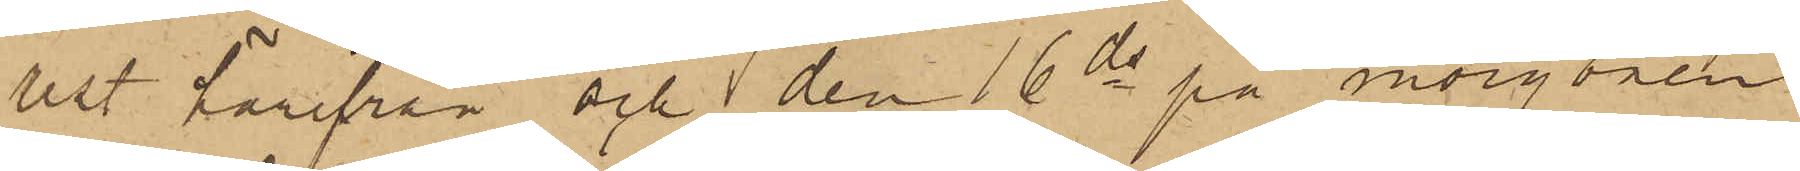rest härifrån och den 16 ds på morgonen
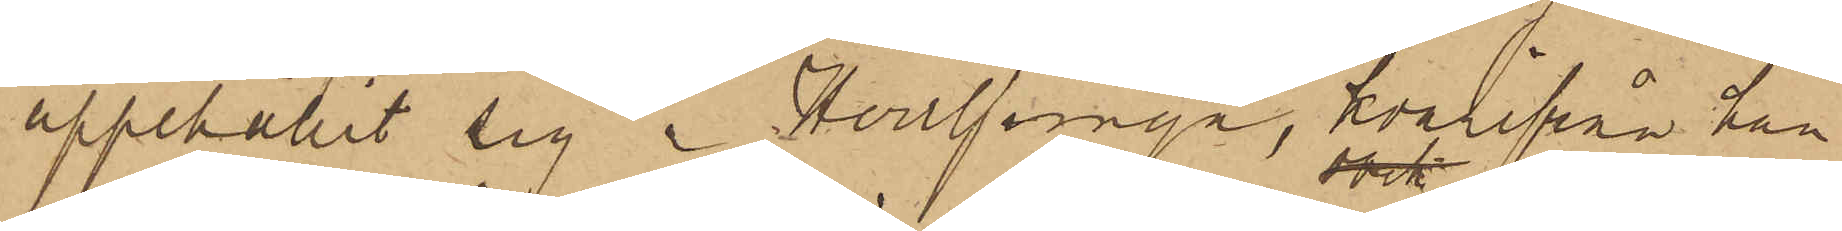uppehållit sig i Herrljunga, hvarifrån han
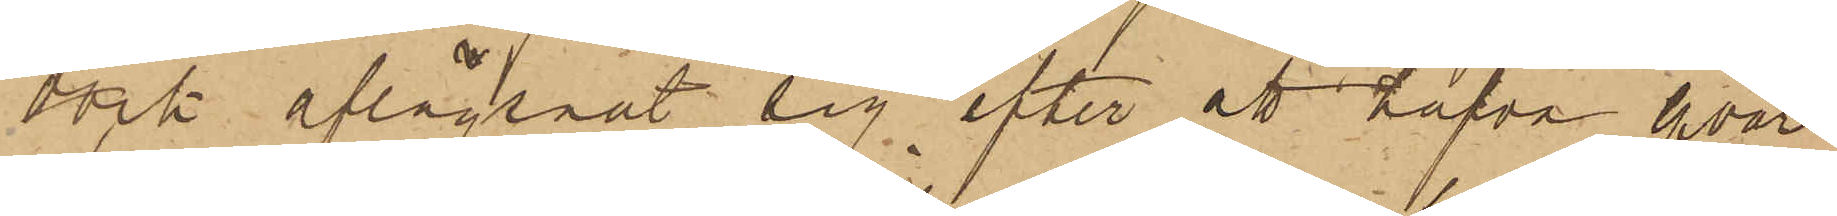dock aflägsnat sig efter att hafva qvar¬
